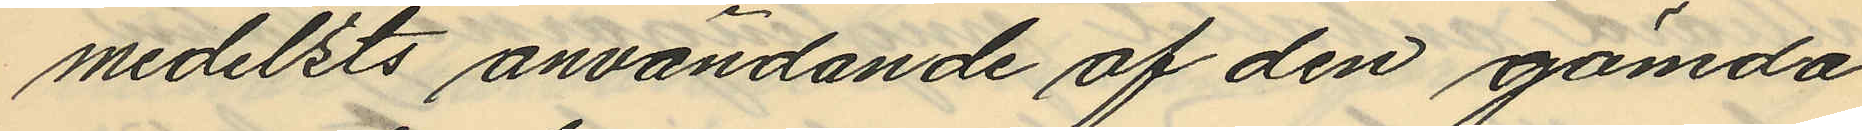medelsts användande af den gömda
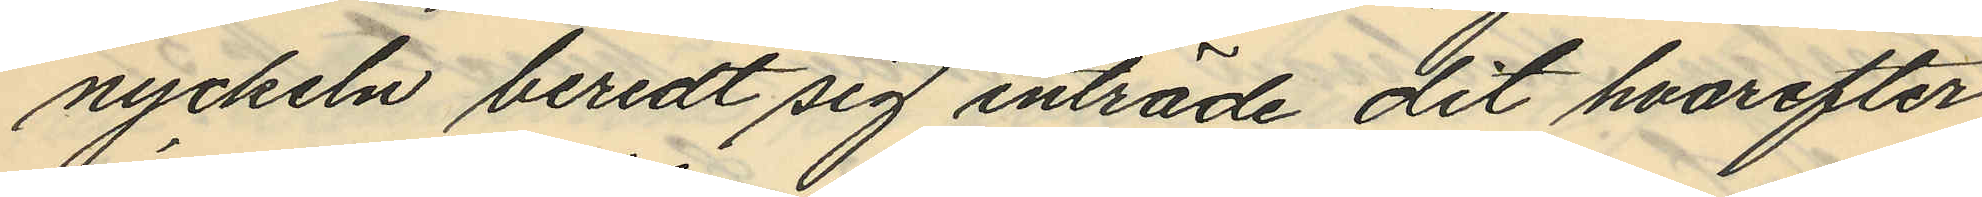nyckeln beredt sig inträde dit hvarefter
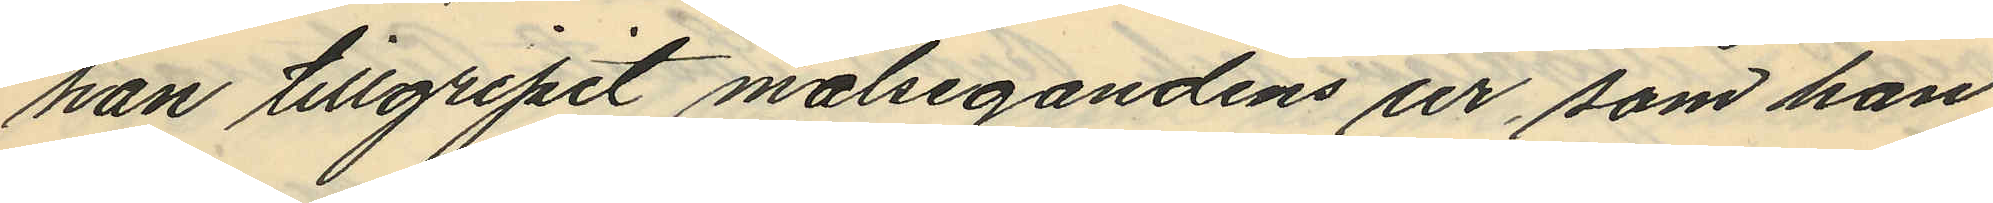han tillgripit målsegandens ur, som han
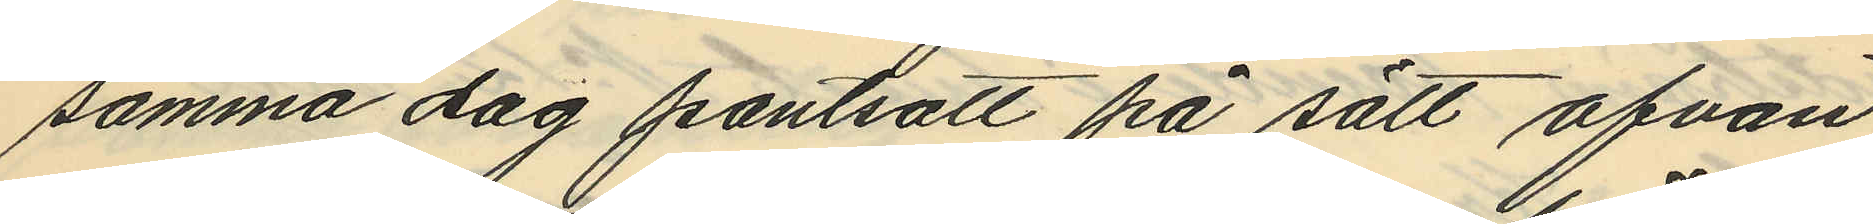samma dag pantsatt på sätt ofvan
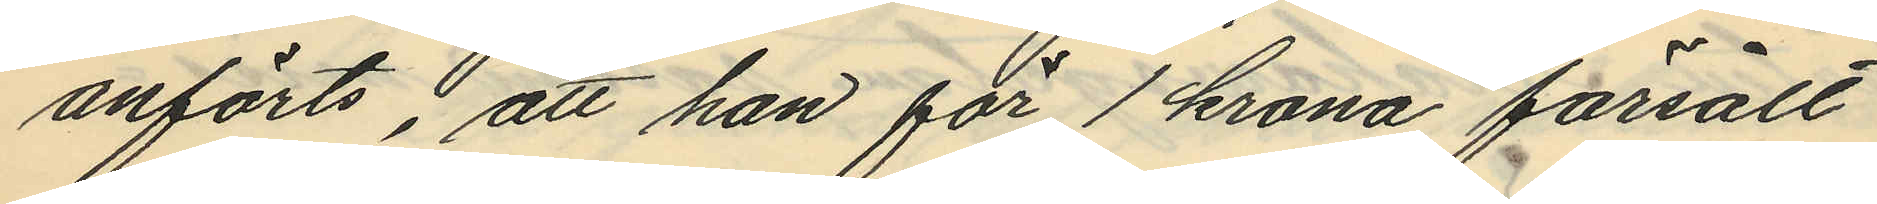anförts, att han för 1 krona försålt
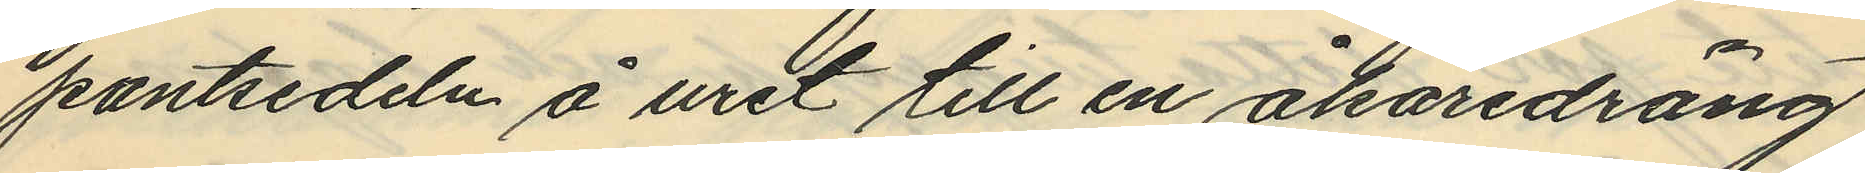pantsedeln å uret till en åkaredräng
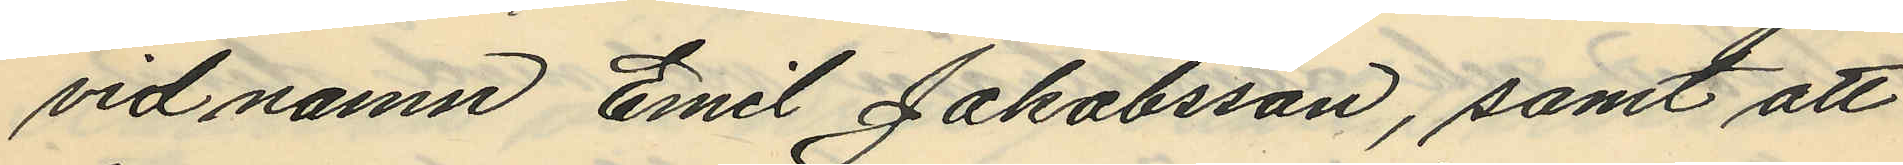vid namn Emil Jakobsson, samt att
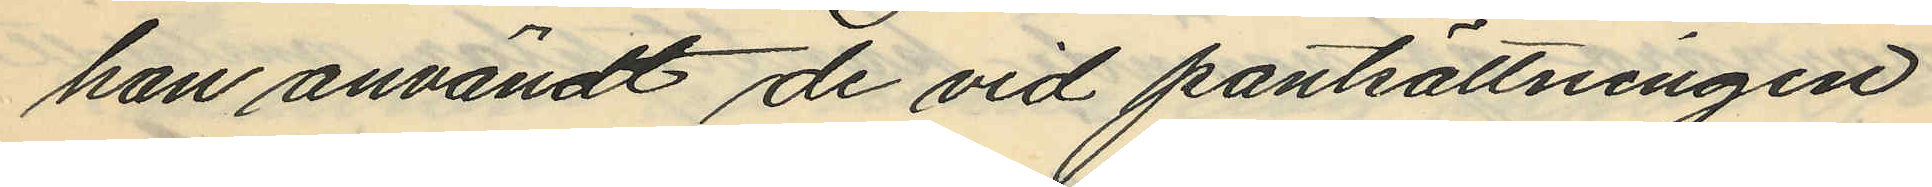han användt de vid pantsättningen
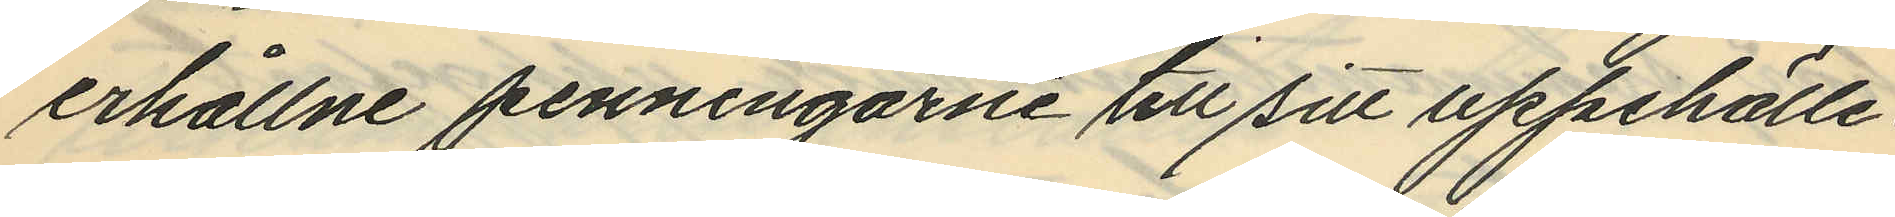erhållne penningarne till sitt uppehälle.
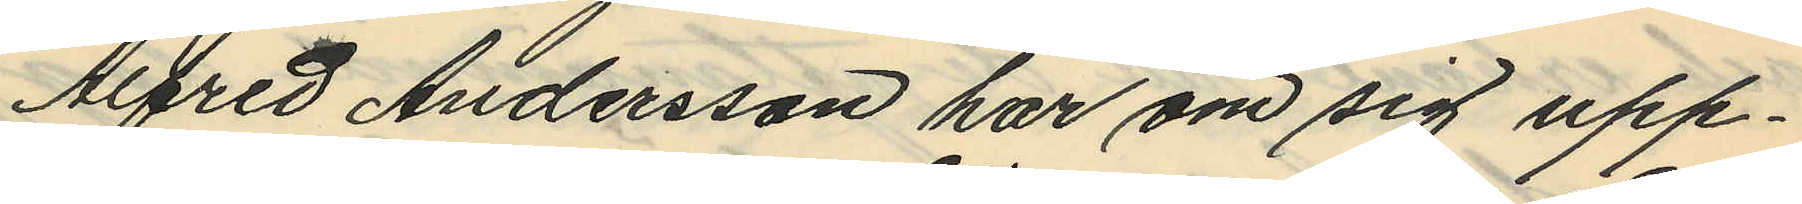Alfred Andersson har om sig upp¬
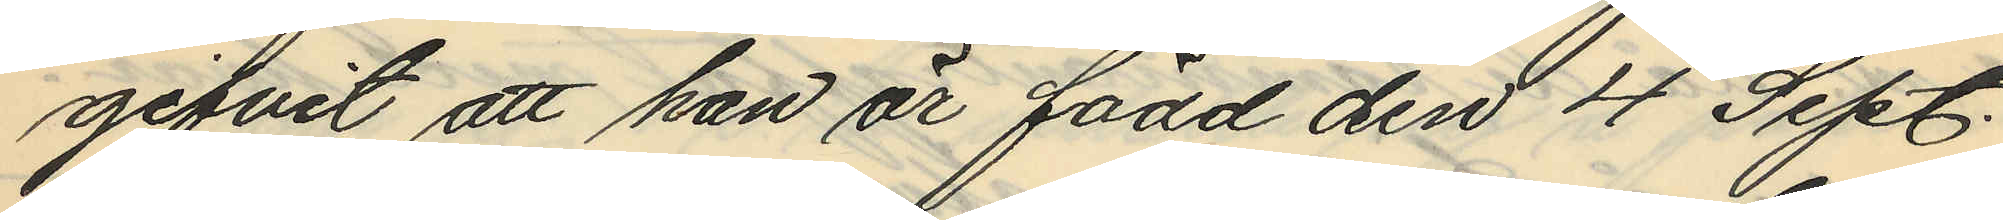gifvit att han är född den 4 Sept.
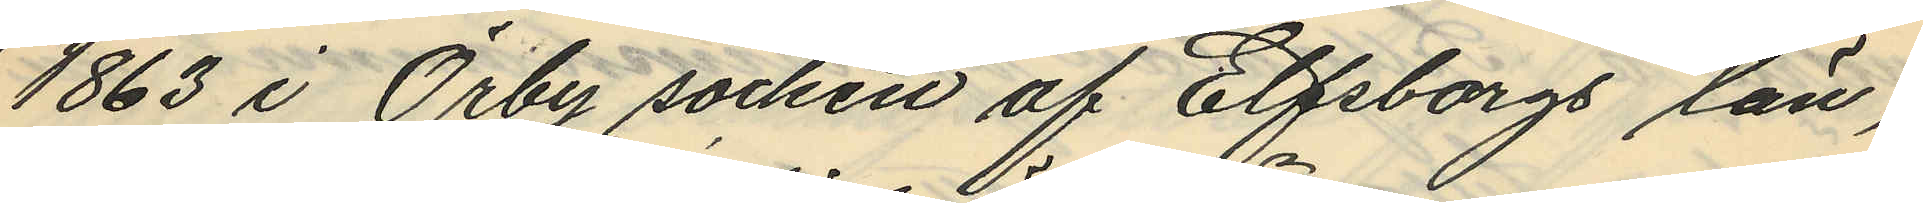1863 i Örby socken af Elfsborgs län;
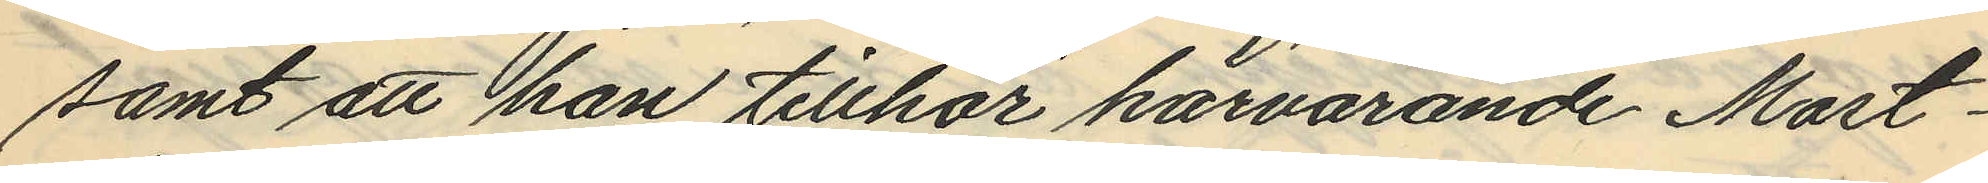samt att han tillhör härvarande Mast¬
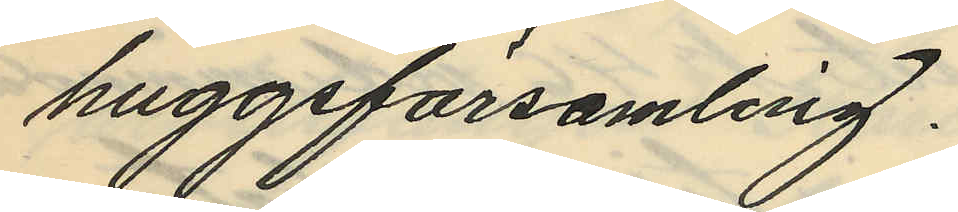huggsförsamling.
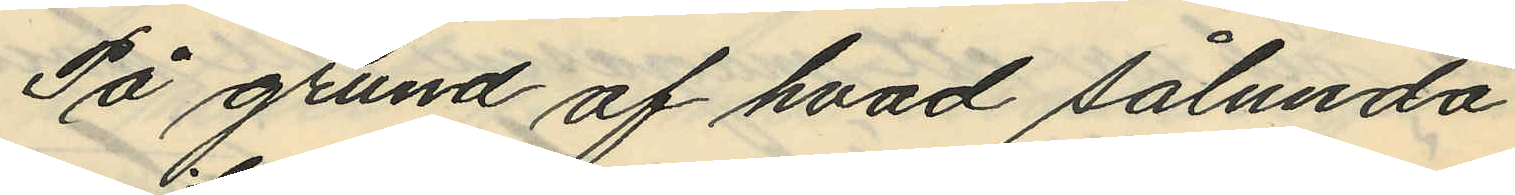På grund af hvad sålunda
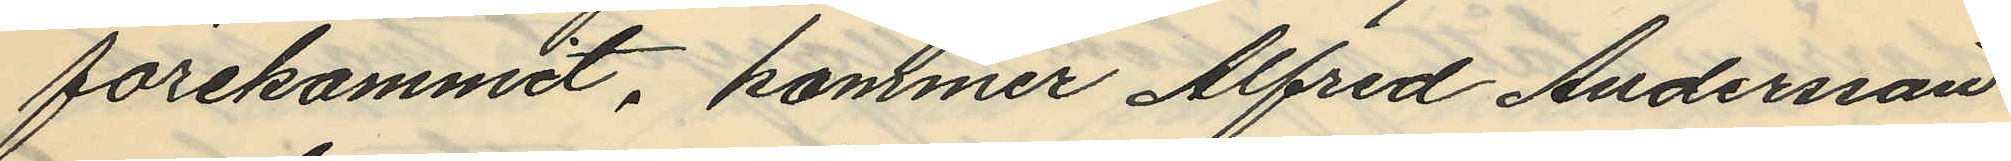förekommit, kommer Alfred Andersson
